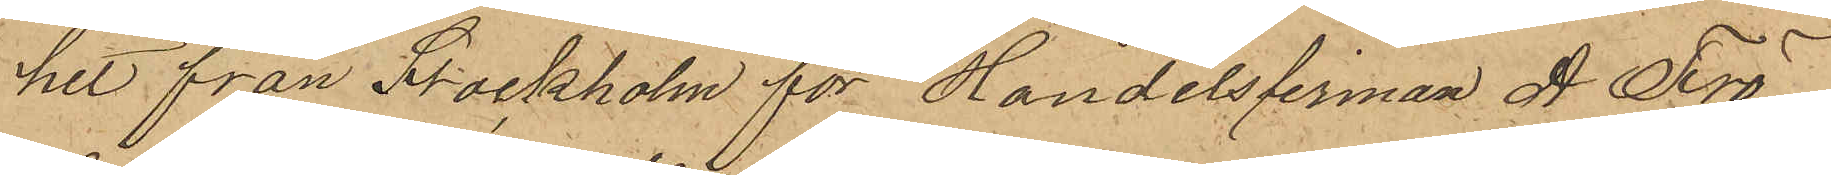hit från Stockholm för Handelsfirman A Frö¬
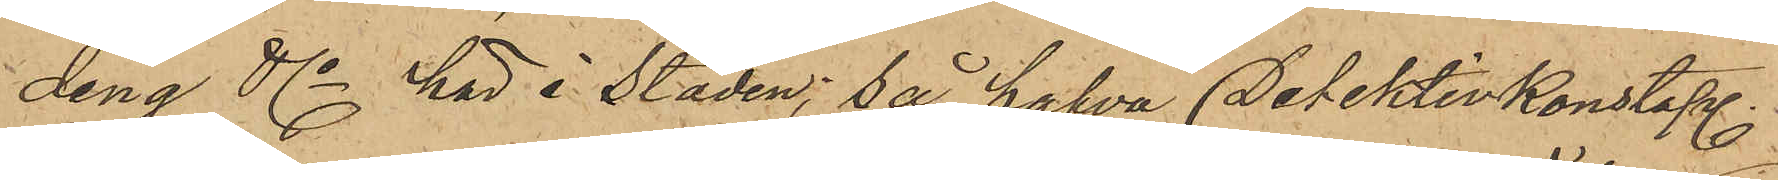ding & Co här i staden; så hafva Detektivkonstapl.
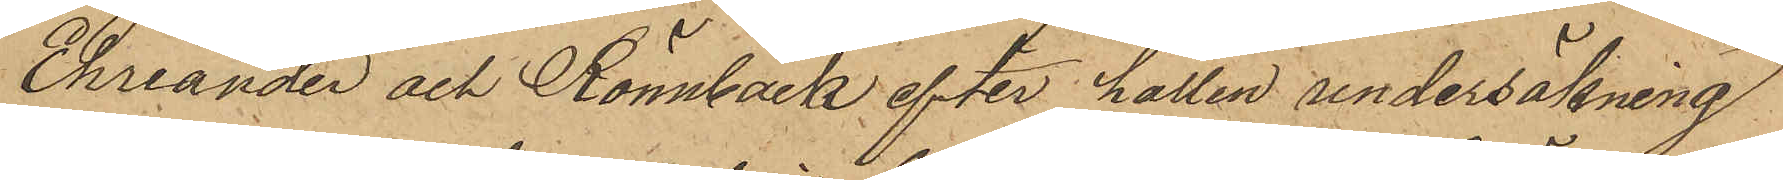Ehriander och Rönnbäck efter hållen undersökning
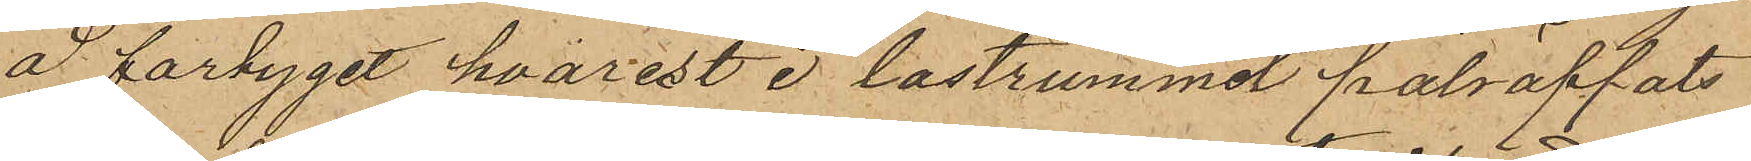å fartyget hvarest i lastrummet påträffats
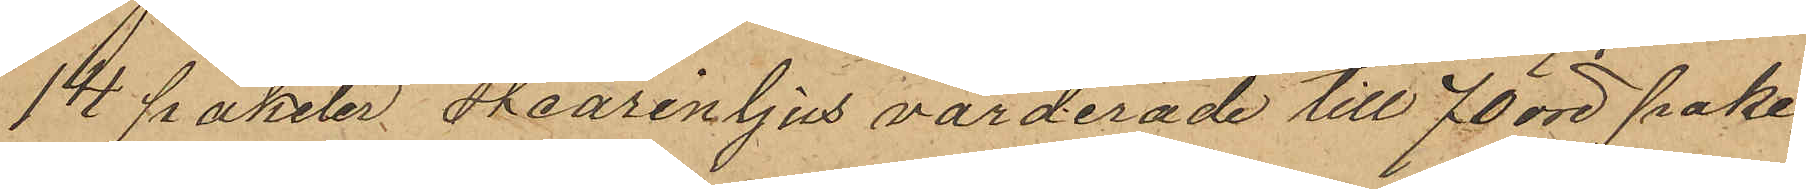14 paketer stearinljus värderade till 70 öre pake¬
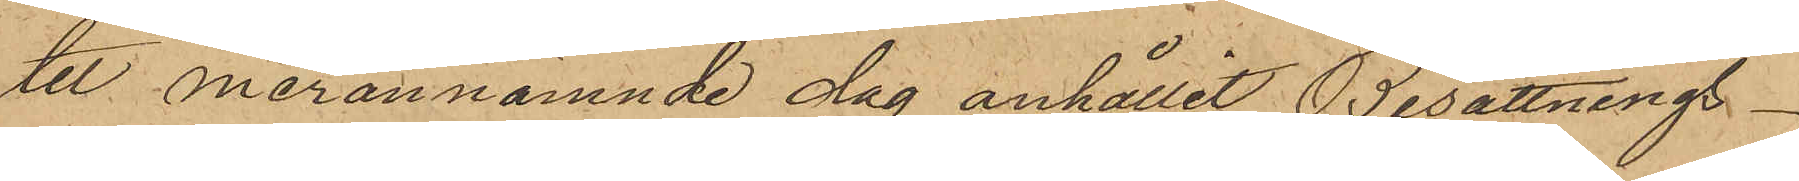tet merannämnde dag anhållit Besättnings¬
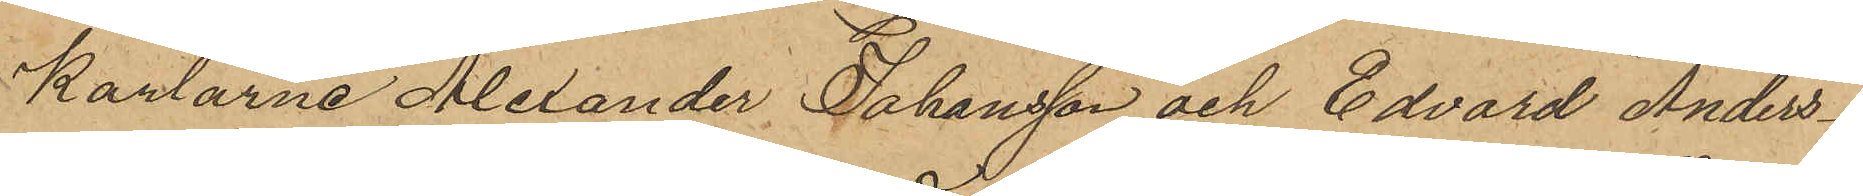karlarne Alexander Johansson och Edvard Anders¬
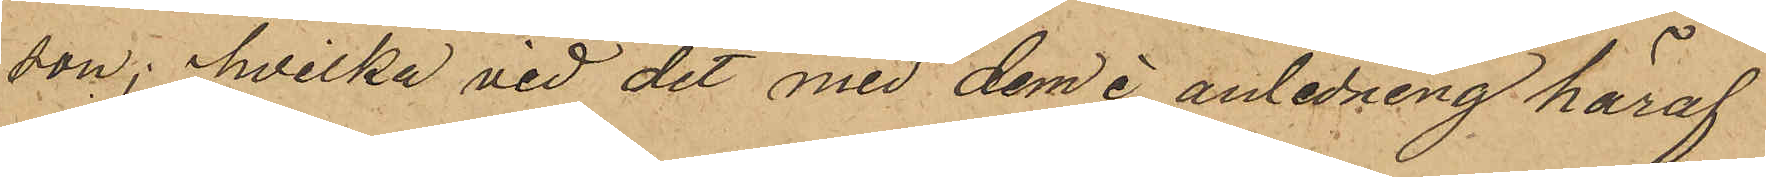son, hvilka vid det med dem i anledning häraf
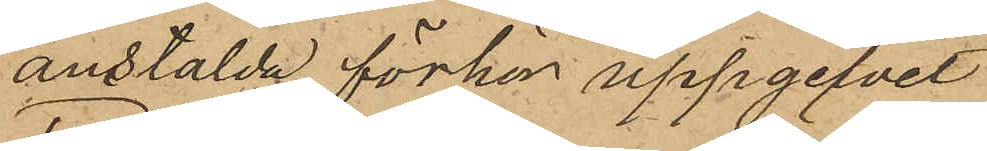anstälda förhör uppgifvit
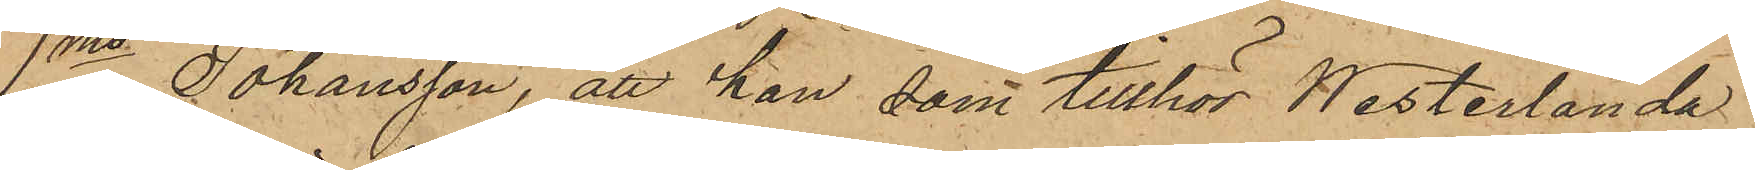1mo Johansson, att han, som tillhör Westerlanda
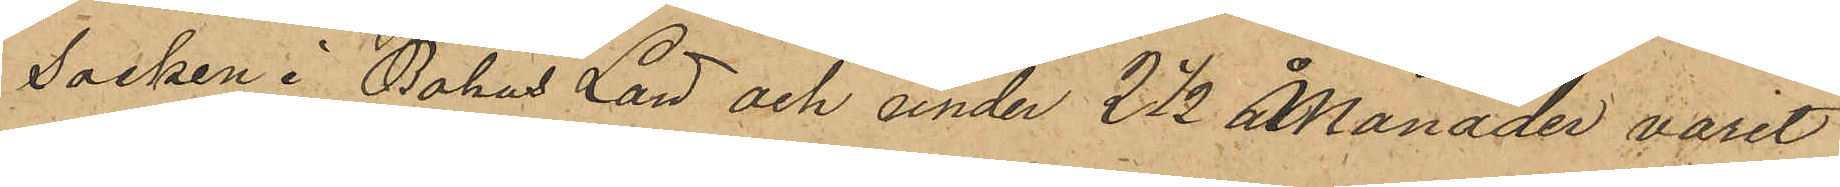Socken i Bohus Län och under 2 1/2 Månader varit
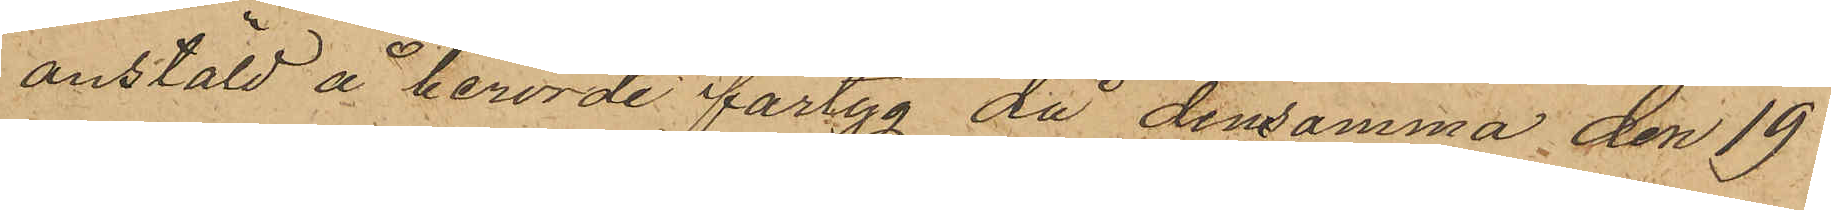anstäld å berörde fartyg då densamma den 19
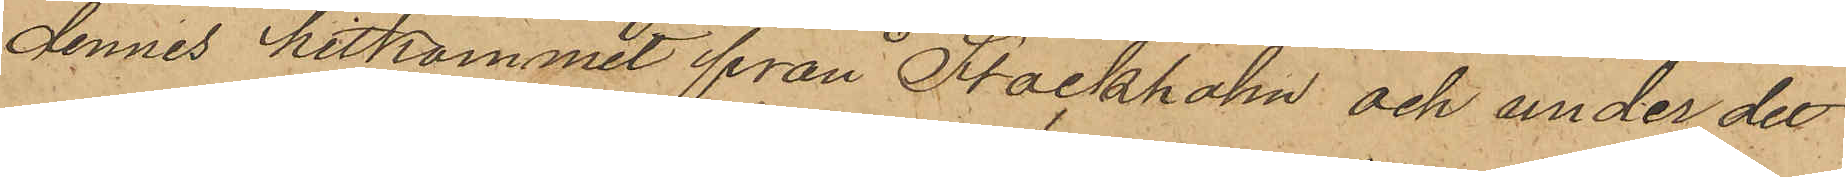dennes hitkommit från Stockholm och under det
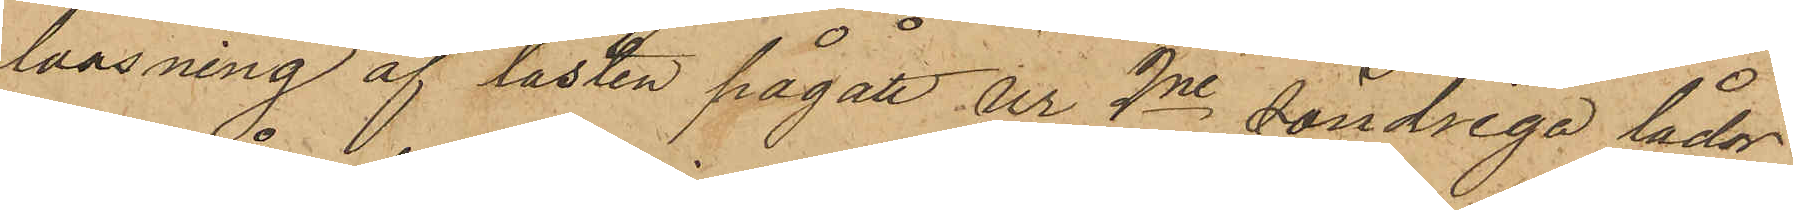lossning af lasten pågått ur 2ne söndriga lådor
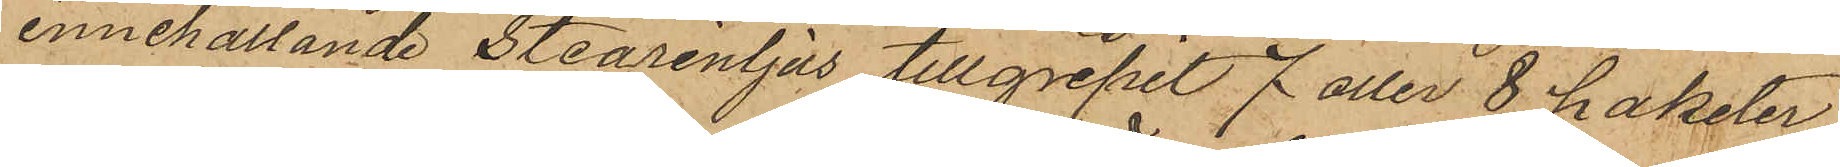innehållande Stearinljus tillgripit 7 eller 8 paketer
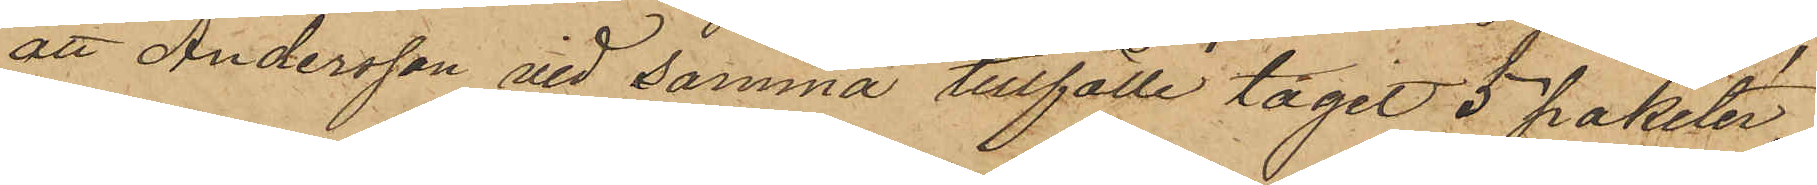att Andersson vid samma tillfälle tagit 5 paketer
